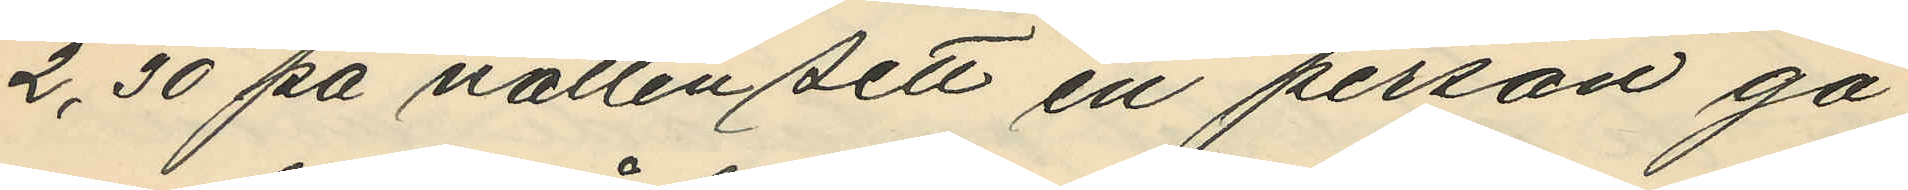2,30 på natten sett en person gå
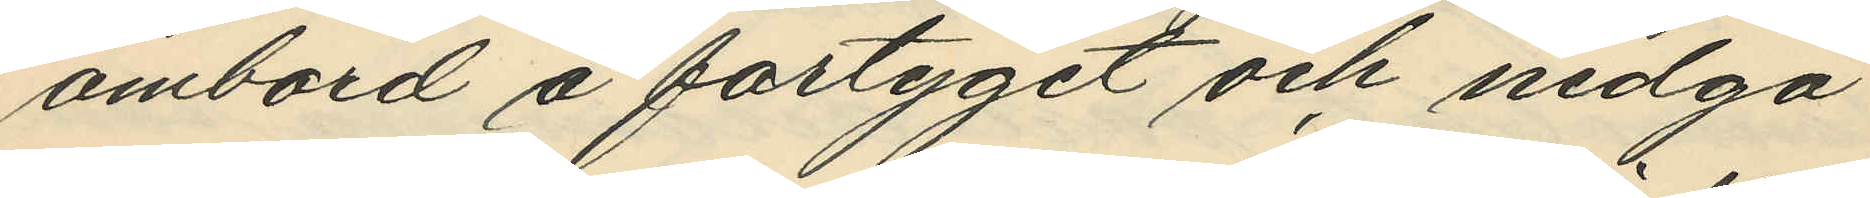ombord å fartyget och nedgå
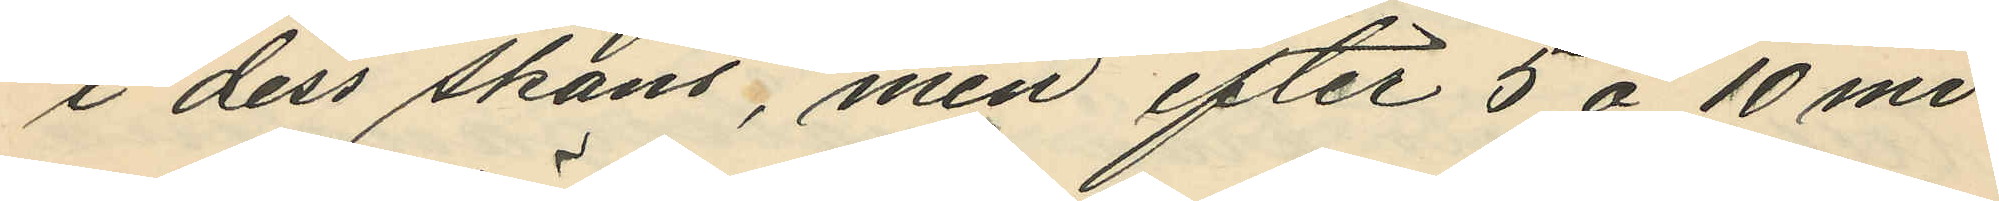i dess skans, men efter 5 à 10 mi¬
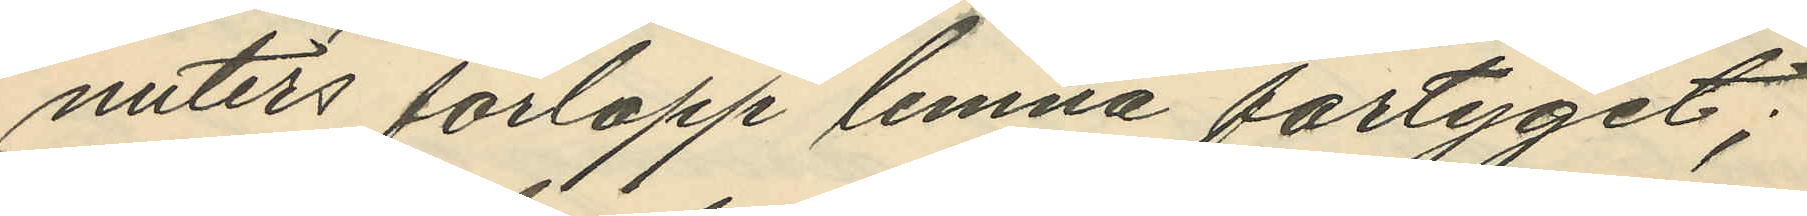nuters förlopp lemna fartyget;
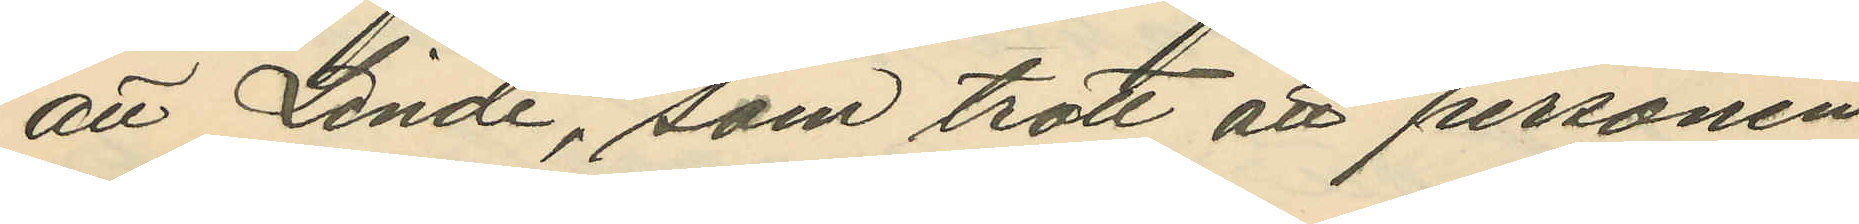att Linde, som trott att personen
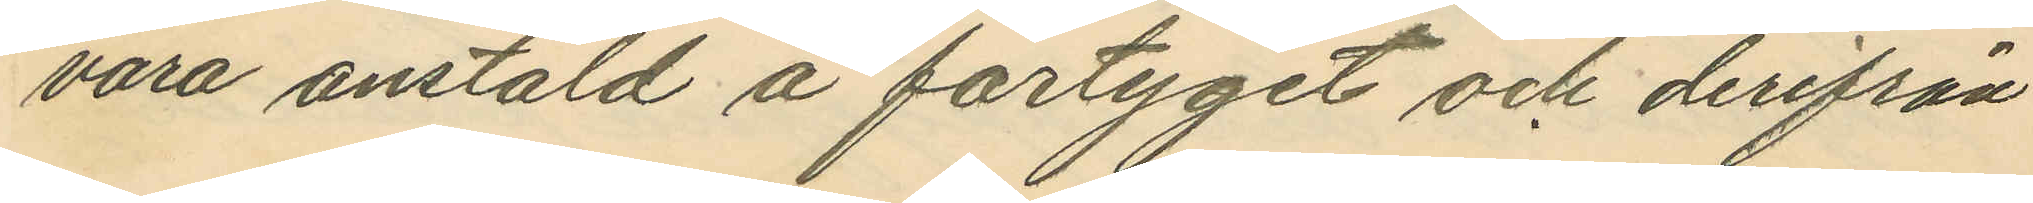vara anstäld å fartyget och derifrån
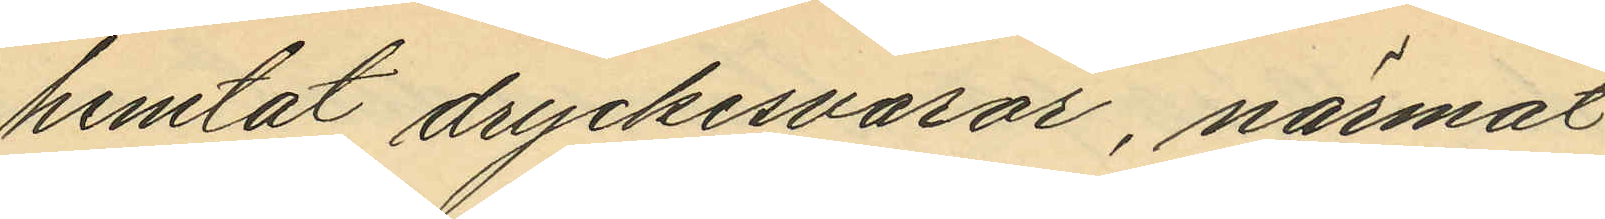hemtat dryckesvaror, närmat
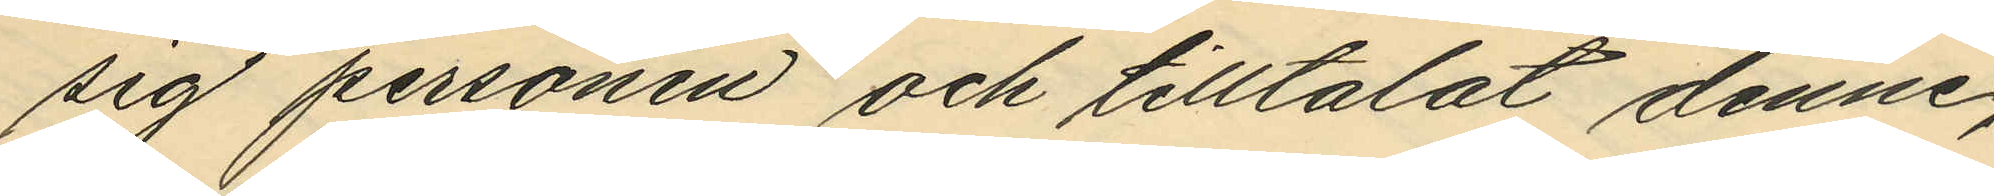sig personen och tilltalat denne,
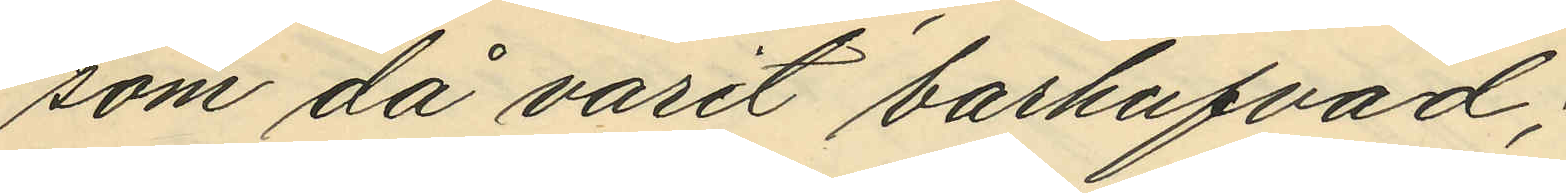som då varit barhufvad;
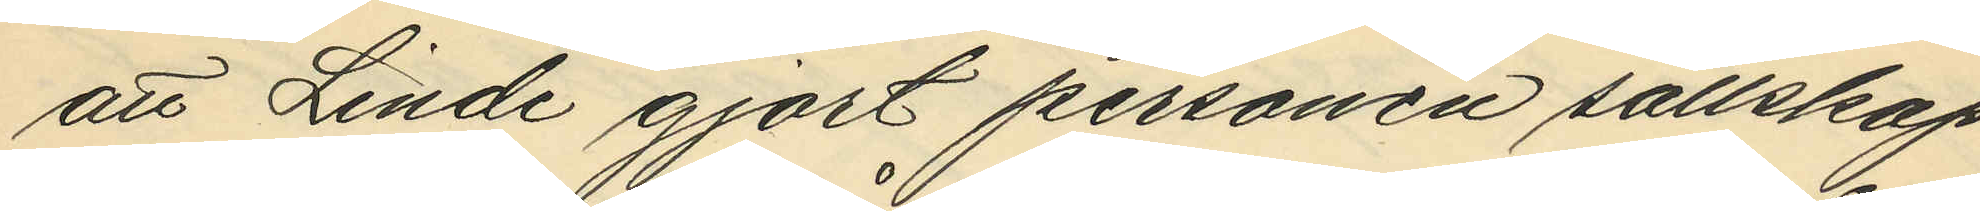att Linde gjort personen sällskap
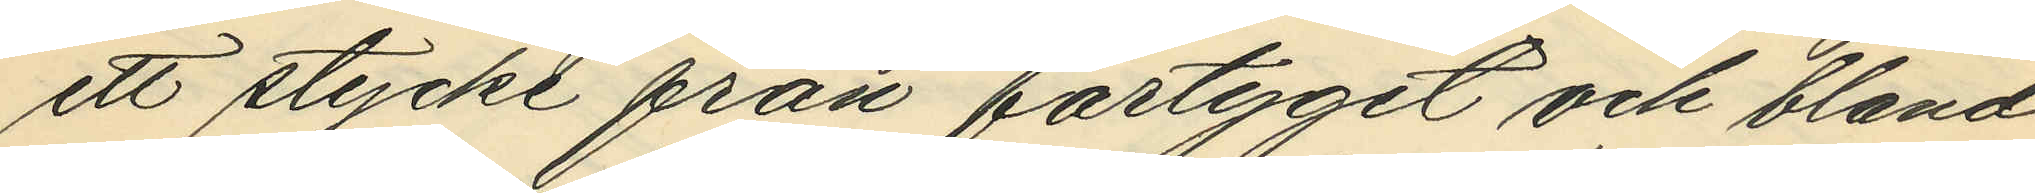ett stycke från fartyget och bland
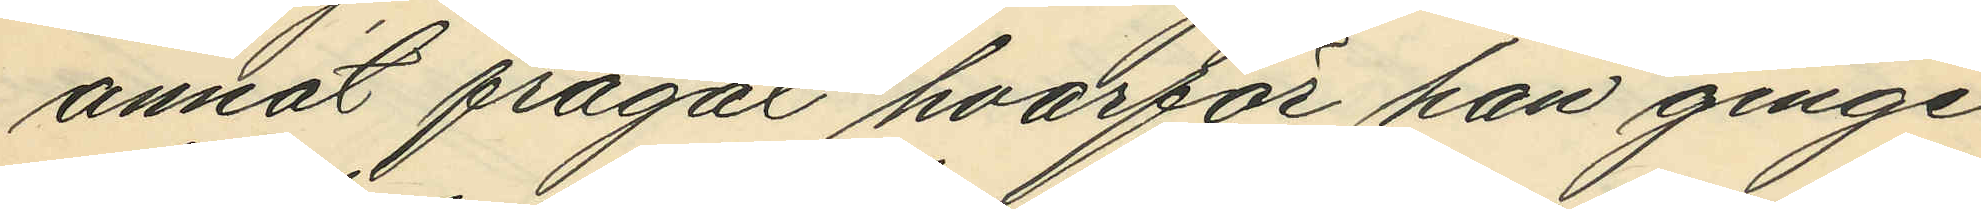annat frågat hvarför han ginge
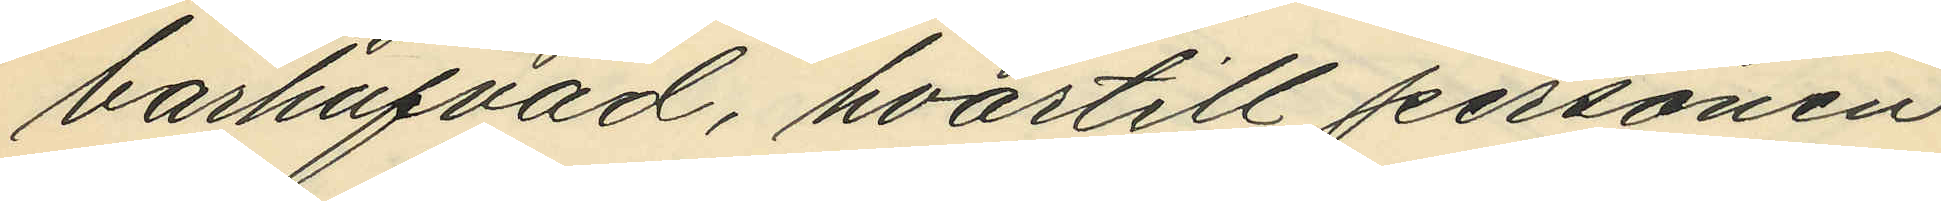barhufvad, hvartill personen
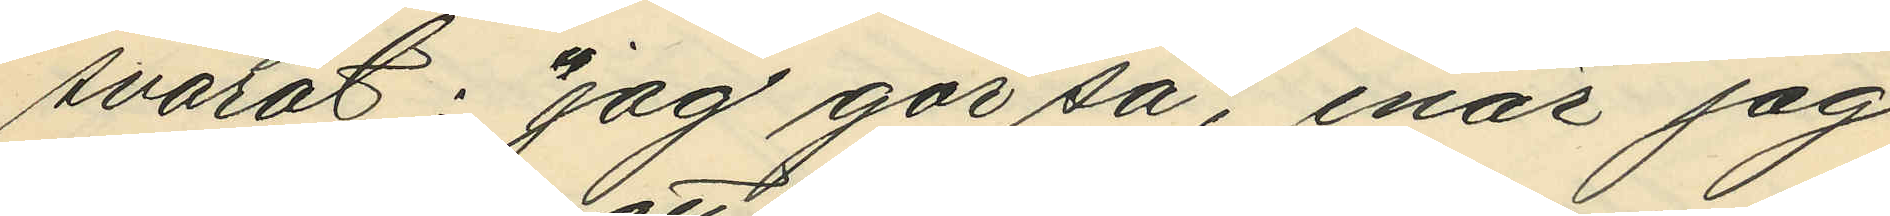svarat: "jag gör så, enär jag
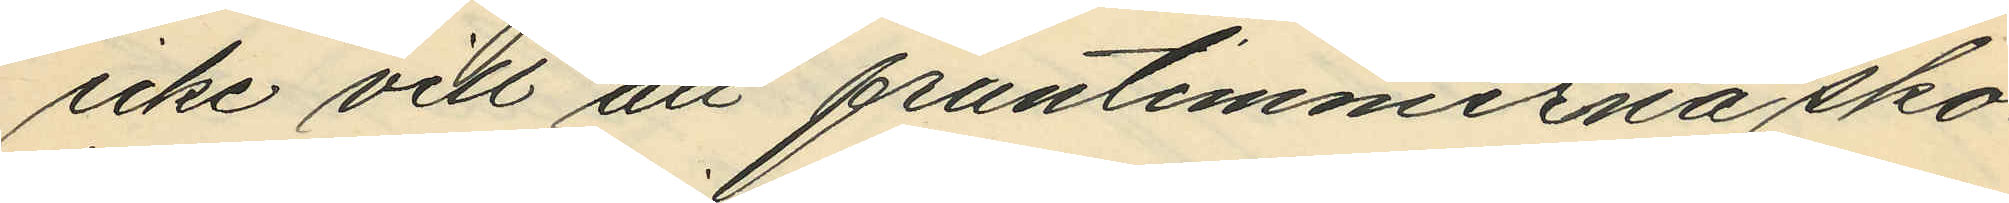icke vill att fruntimmerna sko¬
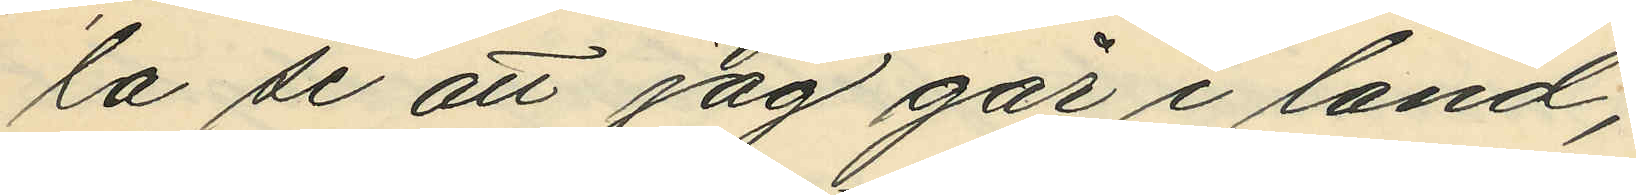la se att jag går i land";
